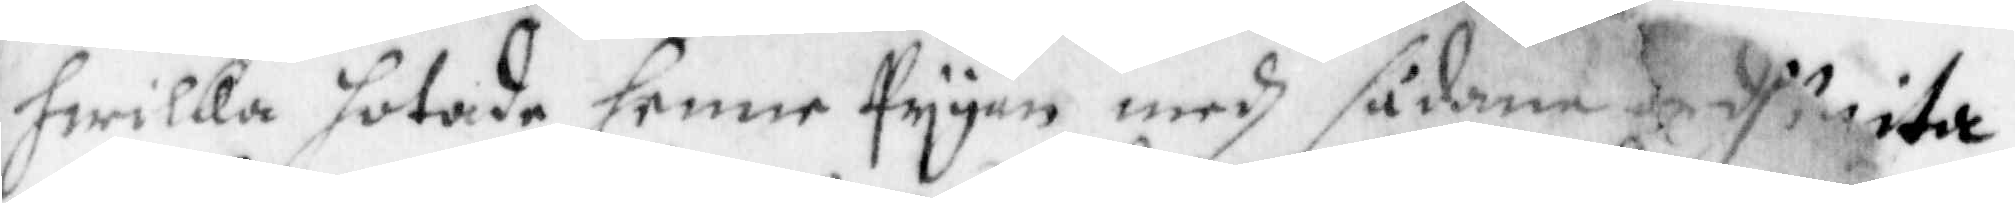hwilka hotade henne Pygan medh sådanna ordh wita
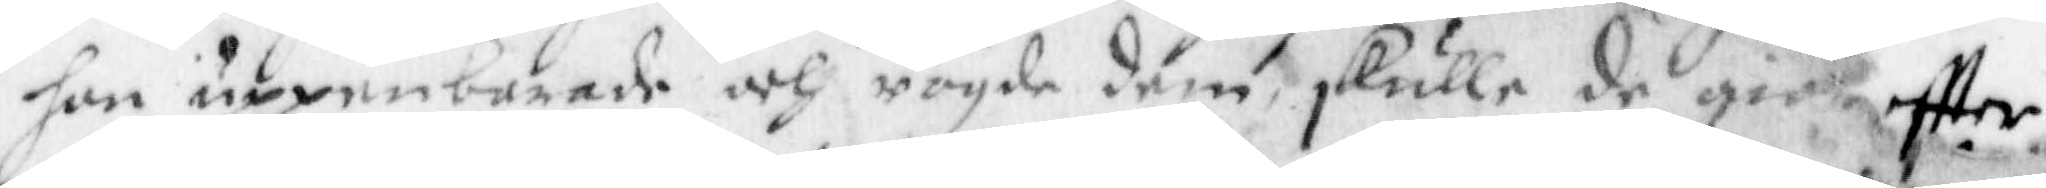hon uppenbarade och rogde dem, skulle de giöra eftter
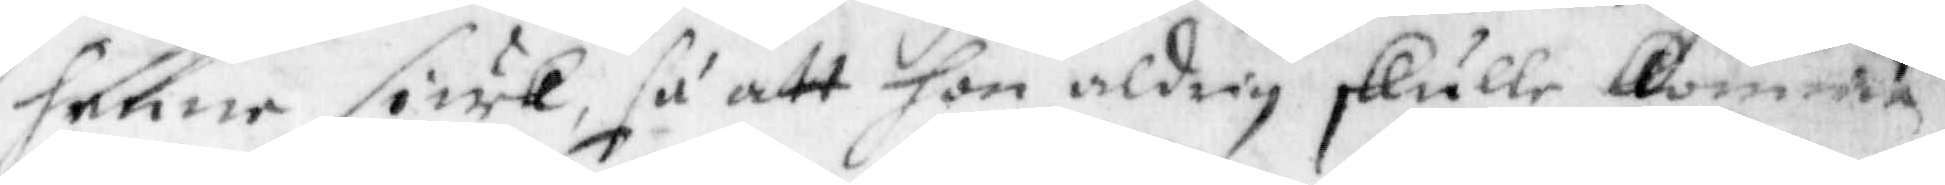henne siuk, så att hon aldrig skulle komma
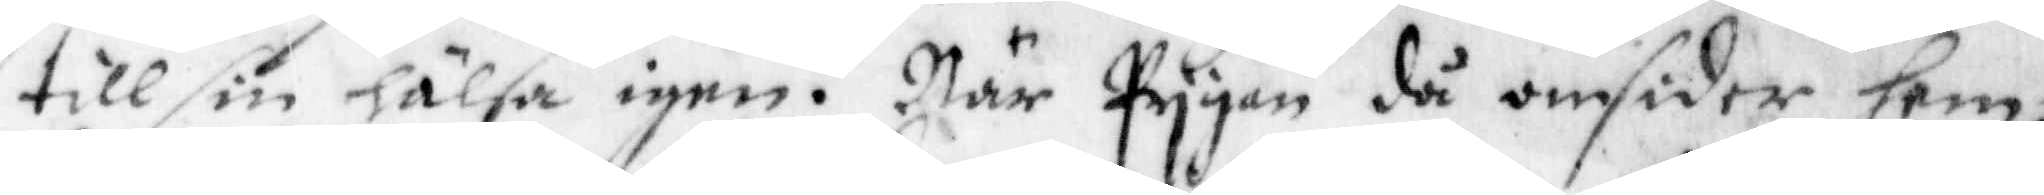till sin hälsa igen. När Pygan då omsider hem¬
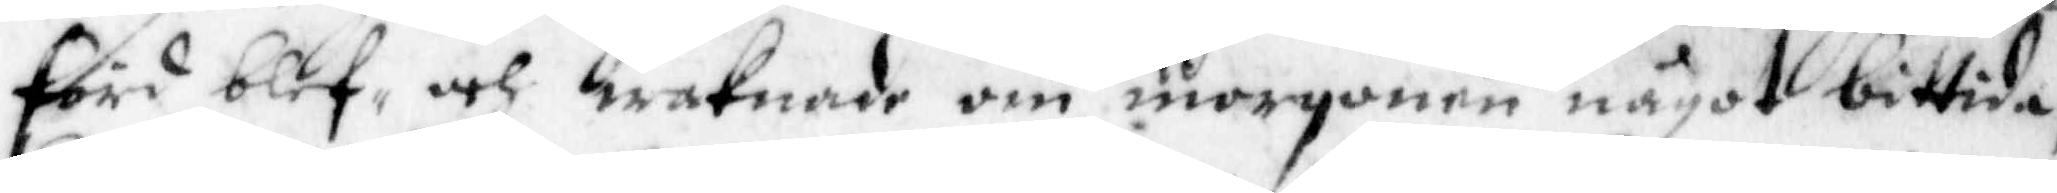förd blef, och waknade om morgonen något bittida,
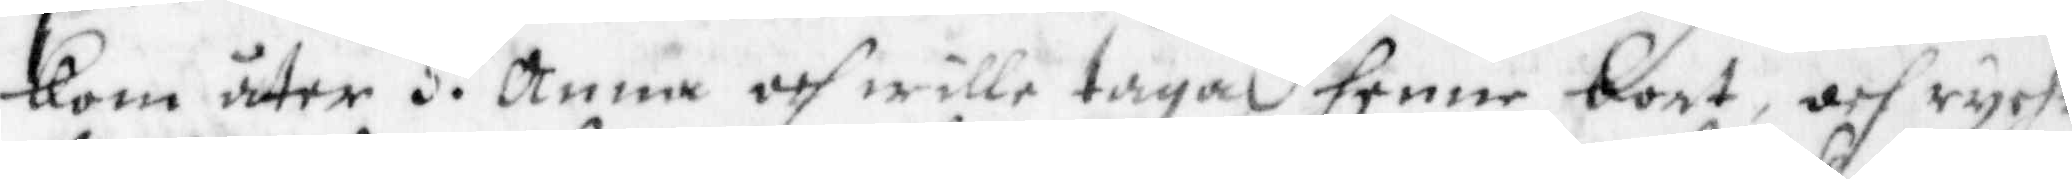kom åter H. Anna och wille taga henne bort, och rych¬
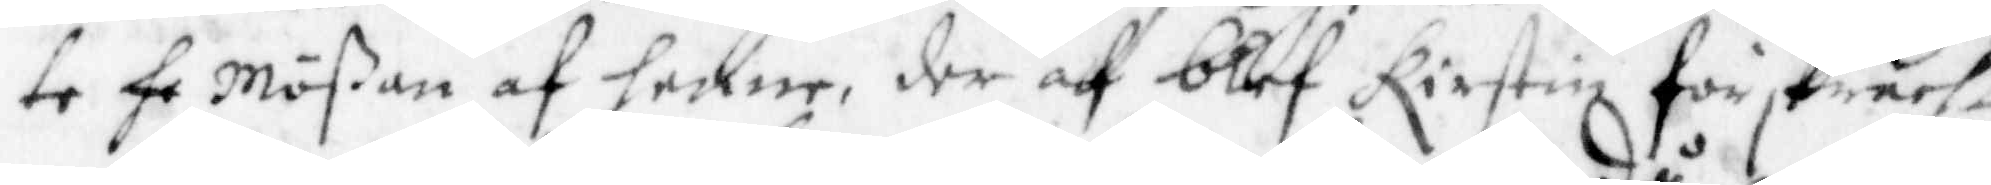te he Mößan af henne, der af blef Kirstin förskrächt
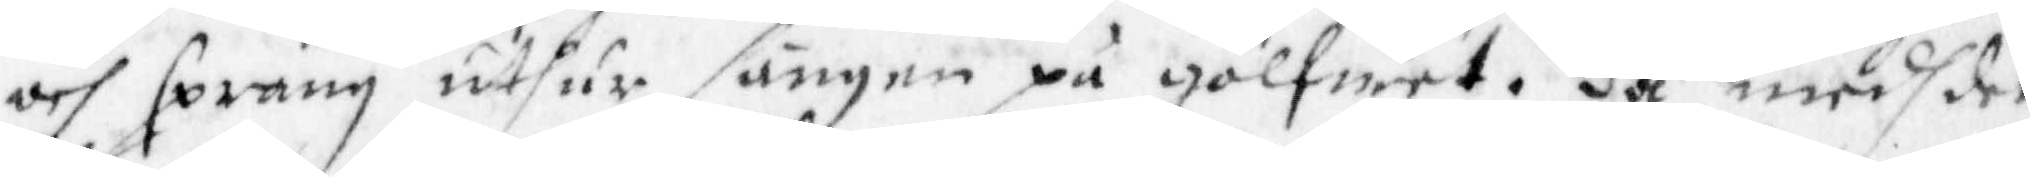och sprang uthur sängen på golfwet. då medh det
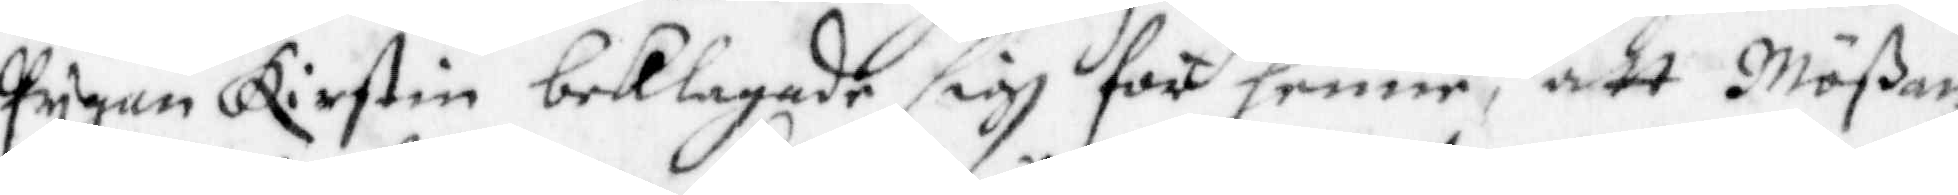Pygan Kirstin beklagade sigh för henne, att Mößan
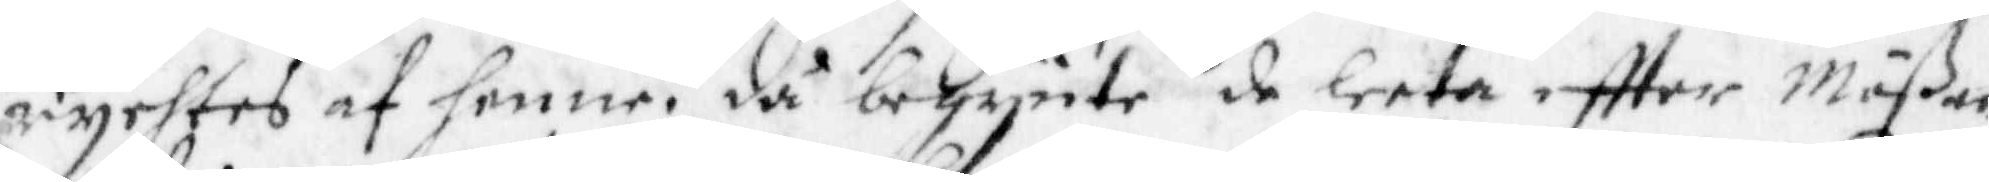rychtes af henne, då begynte de leeta eftter Mößan
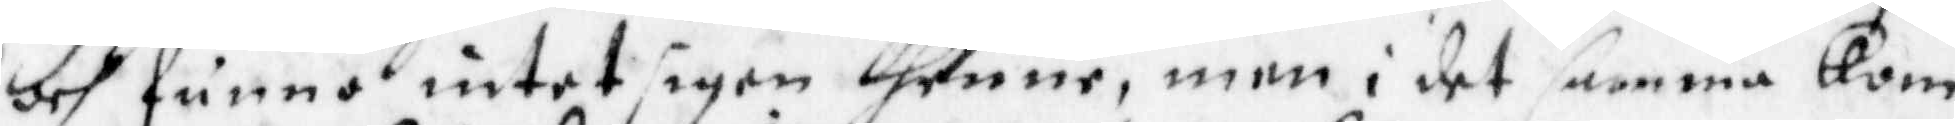och funno intet igen thenne, men i det samma kom
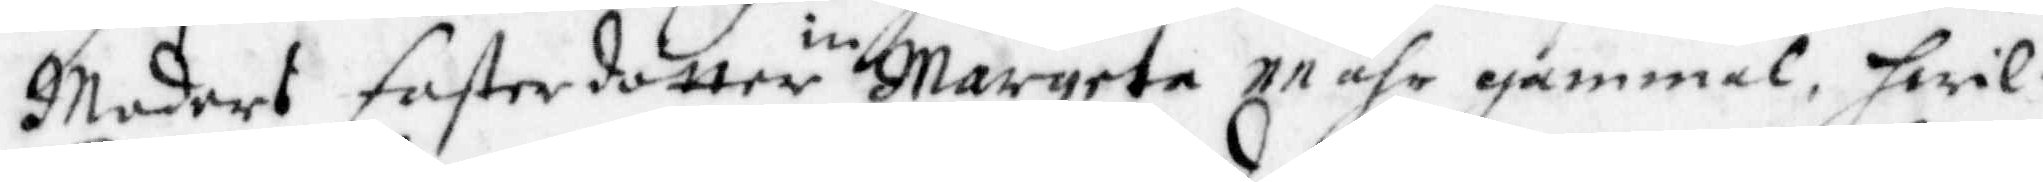Moders fasterdotter in Margeta 11 åhr gammal, hwil¬
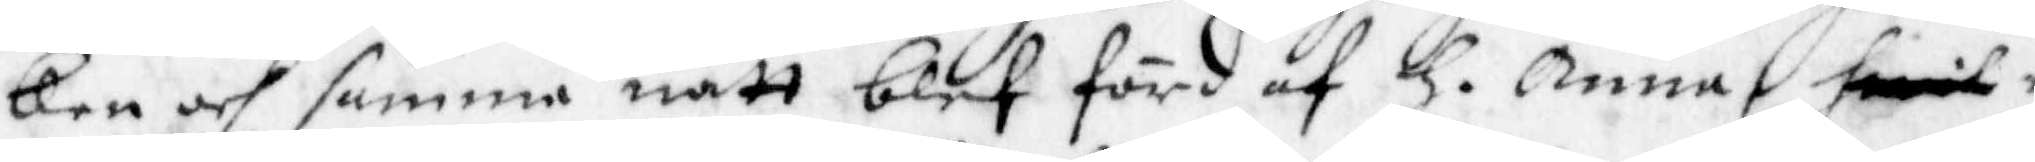ken och samma natt blef förd af H. Anna hwil
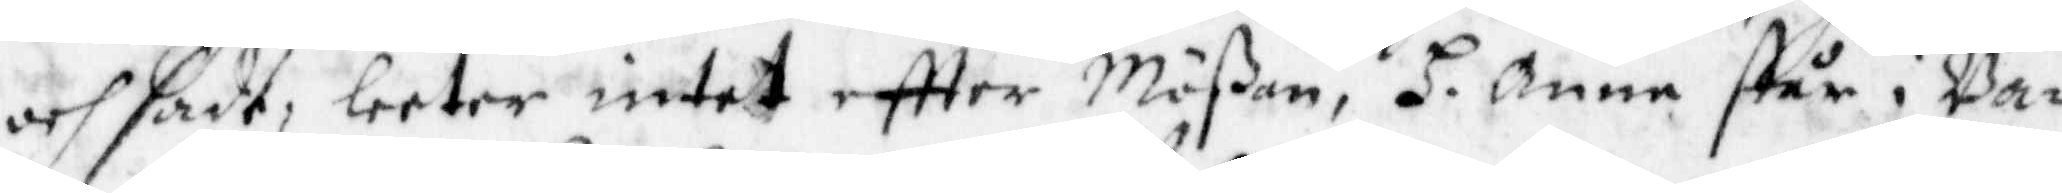och sade, leeter intet eftter Mößan, H. Anna står i Ba¬
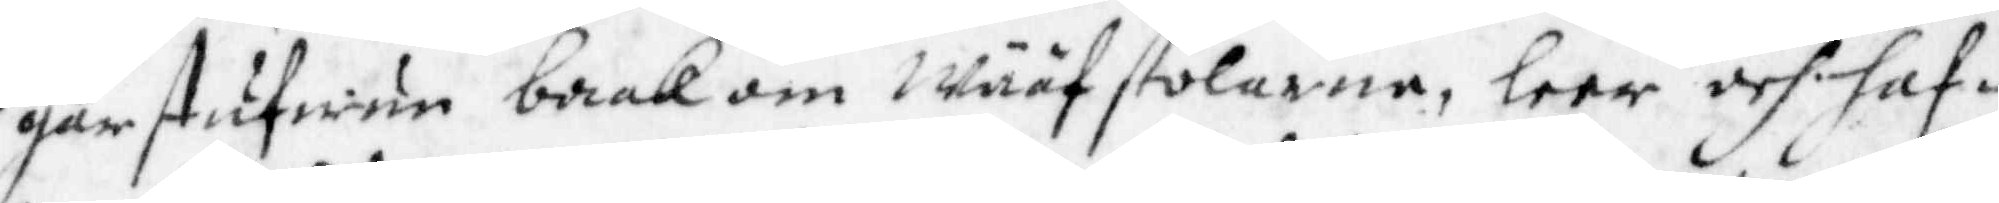garstufwun baak om Wääfstolarna, leer och haf¬
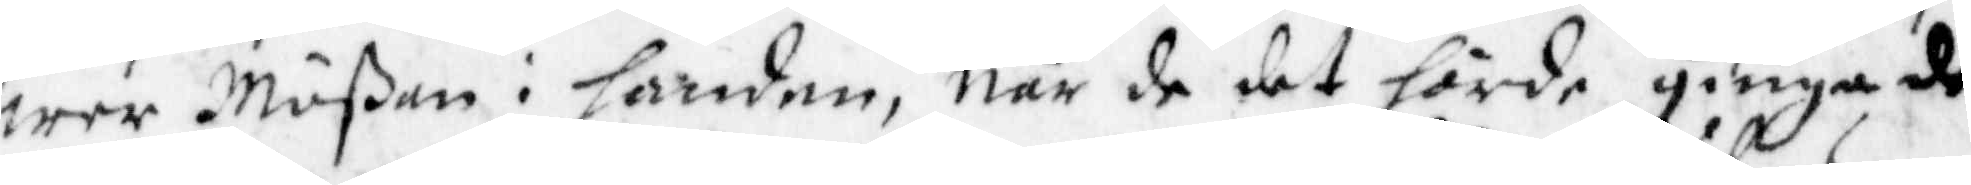wer Mößan i handen, när de det hörde ginga de
